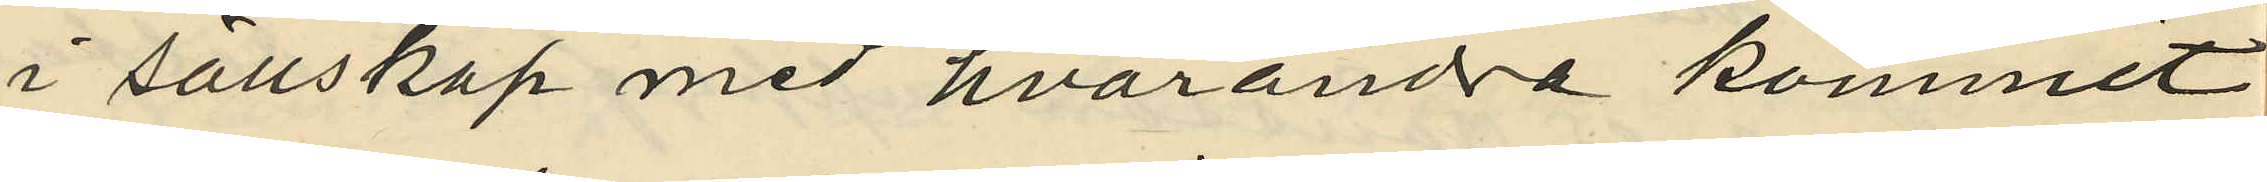i sällskap med hvarandra kommit
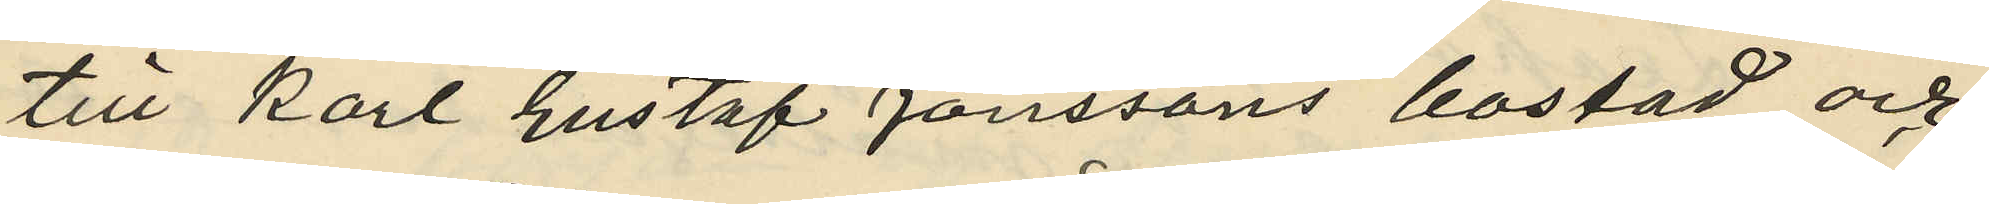till Karl Gustaf Jönssons bostad och
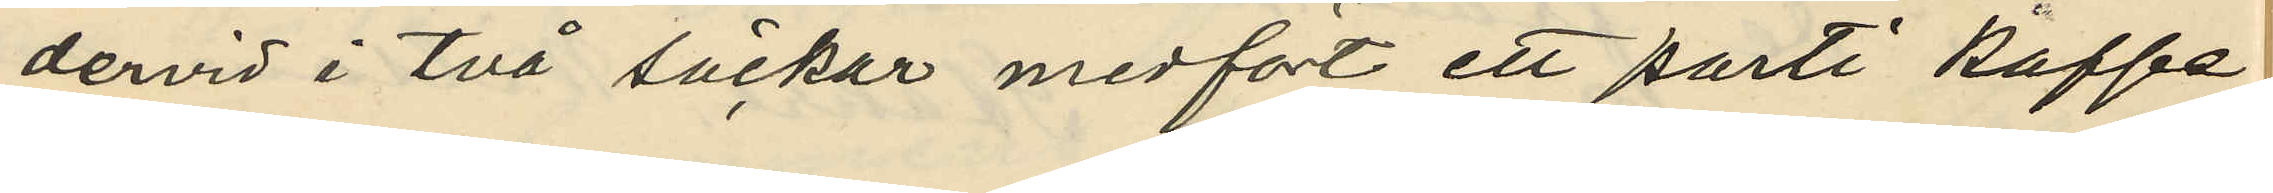dervid i två säckar medfört ett parti kaffe,
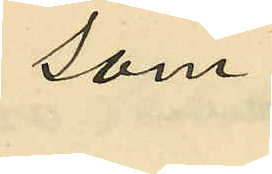som
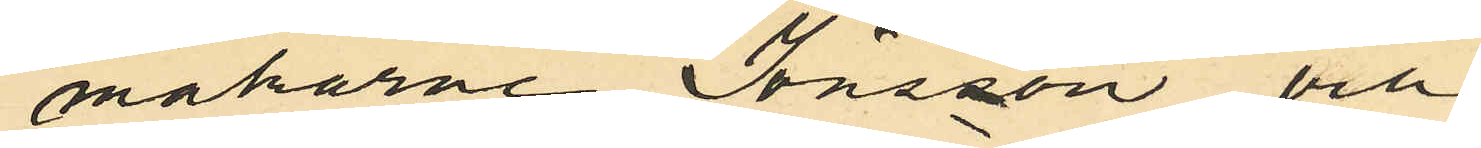makarne Jönsson och
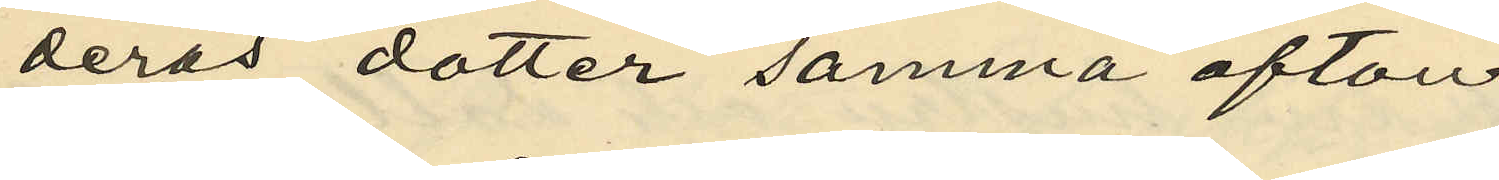deras dotter samma afton
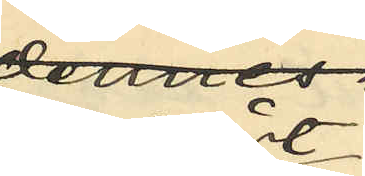bortfört
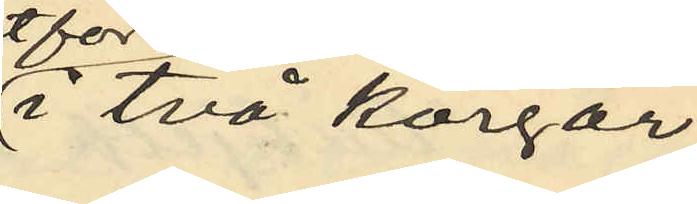i två korgar
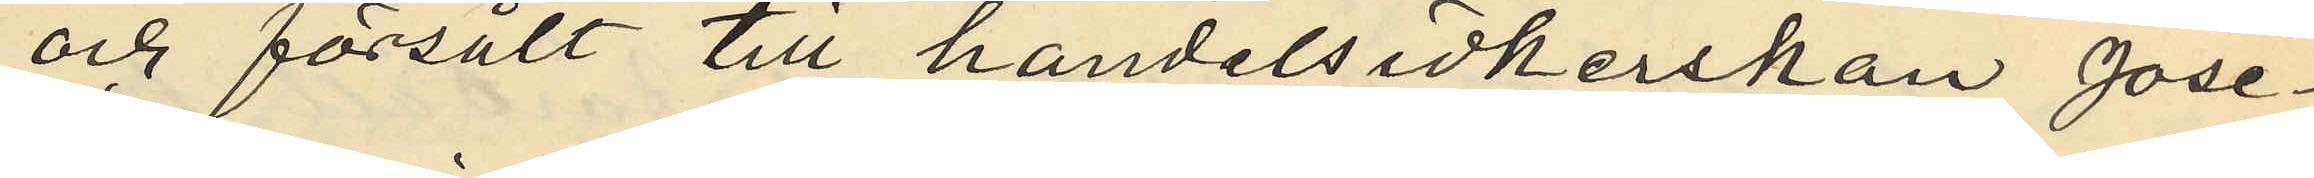och försålt till handelsidkerskan Jose¬
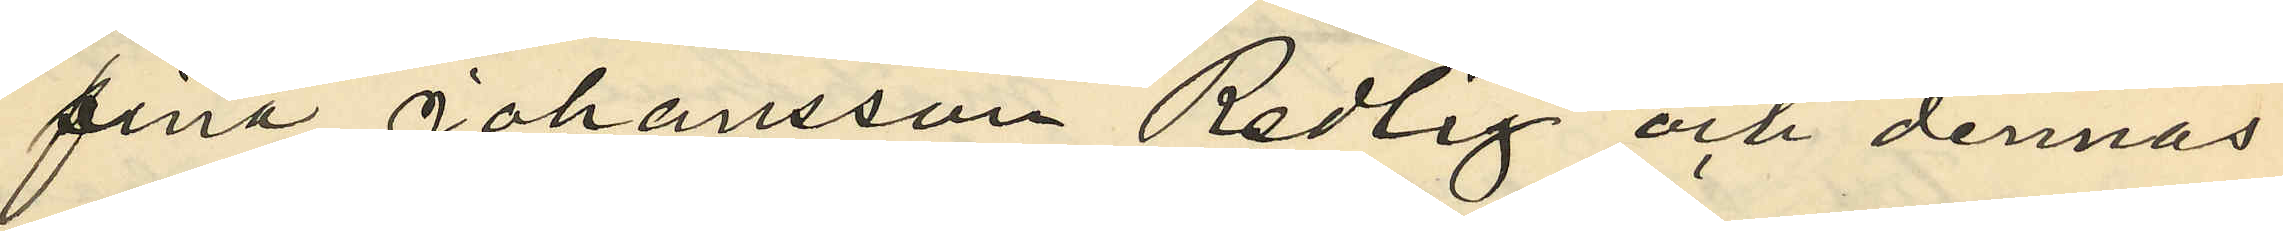fina Johansson Redlig och dennas
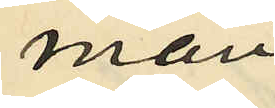man
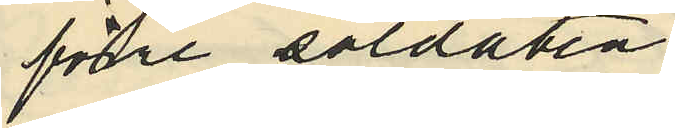förre soldaten
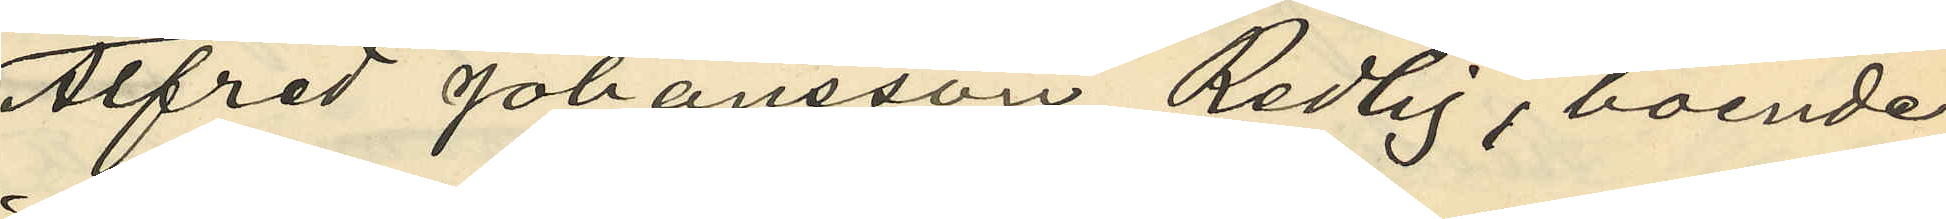Alfred Johansson Redlig, boende
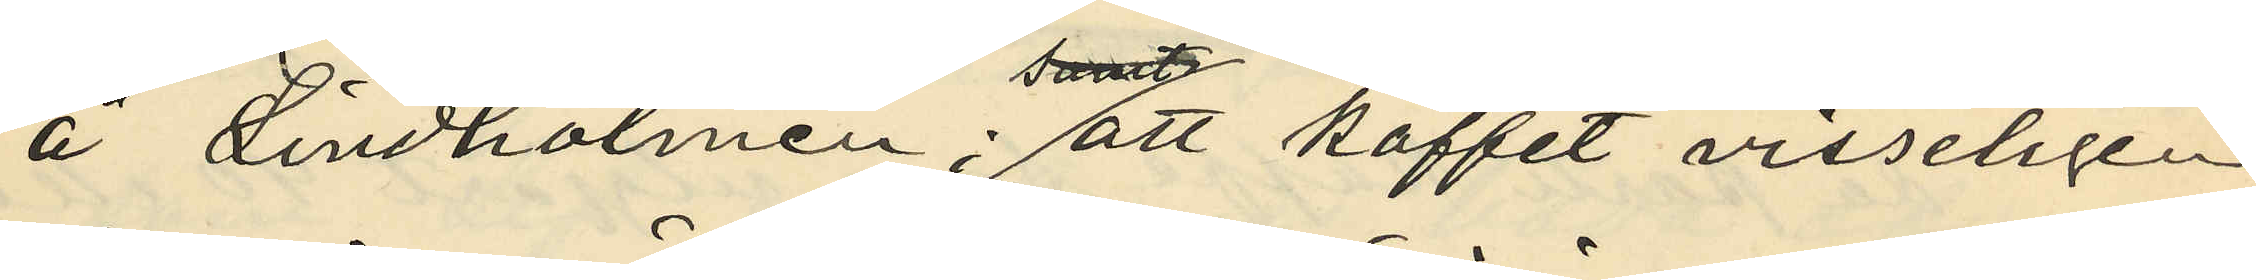å Lindholmen; att kaffet visseligen
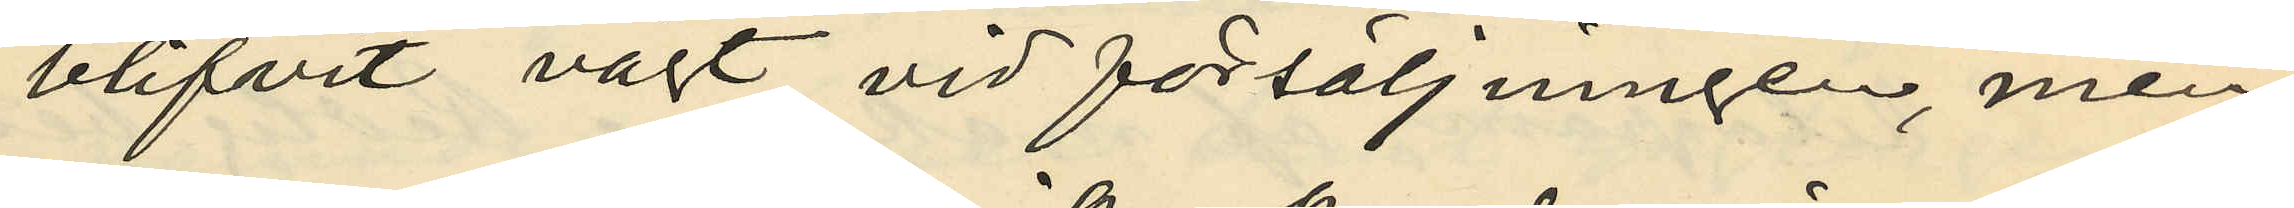blifvit vägt vid försäljningen, men
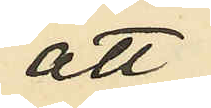att
